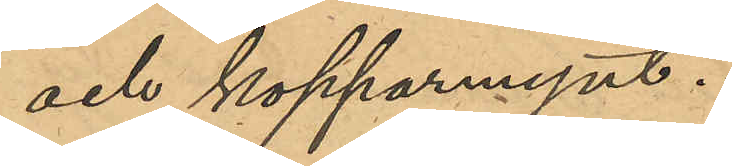och kopparmynt.
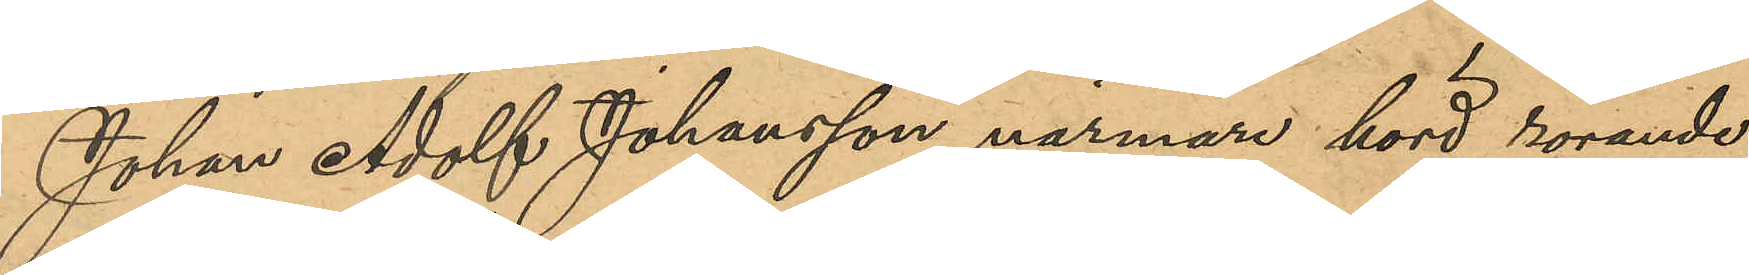Johan Adolf Johansson närmare hörd rörande
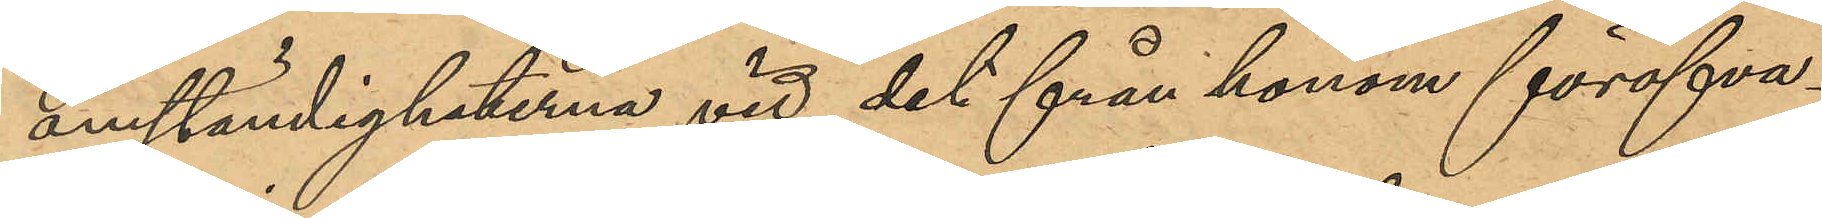omständigheterna vid det från honom föröfva¬
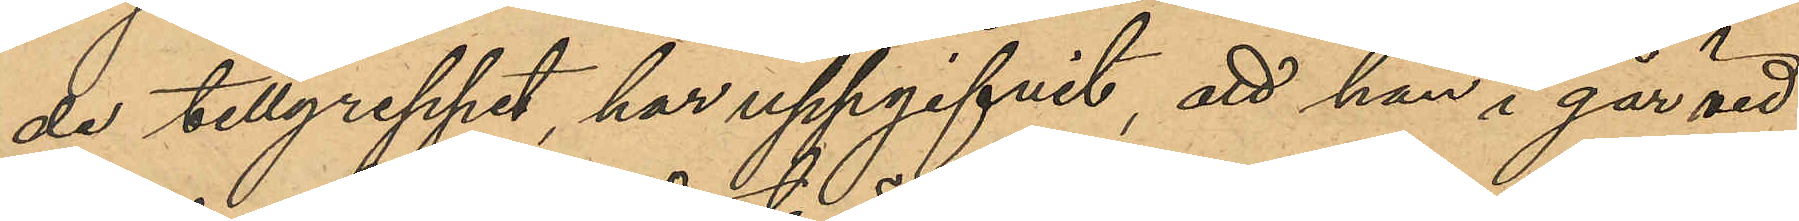de tillgreppet, har uppgifvit, att han i går vid
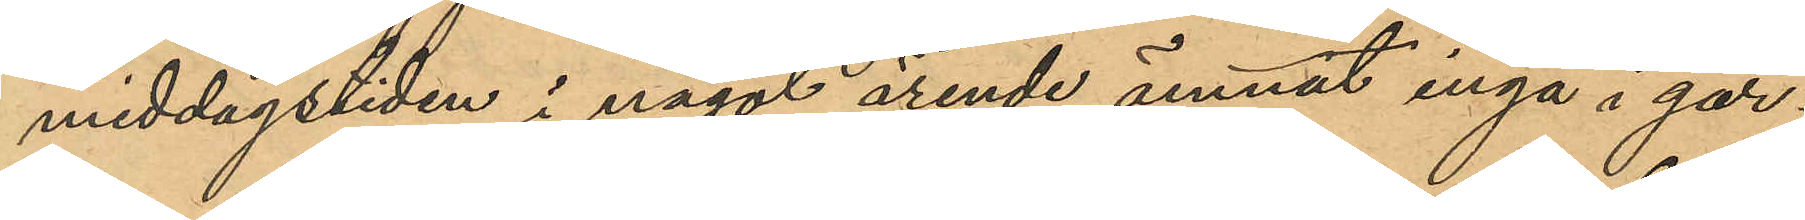middagstiden i något ärende ämnat ingå i går¬
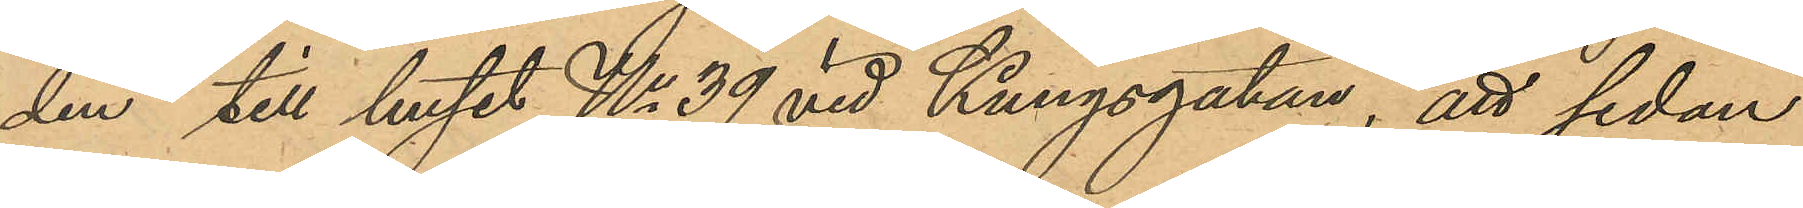den till huset No 39 vid Kungsgatan, att sedan
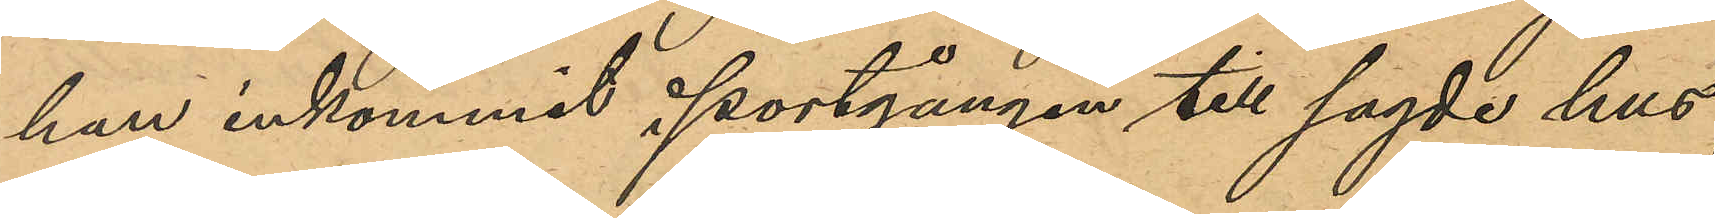han inkommit i portgången till sagde hus,
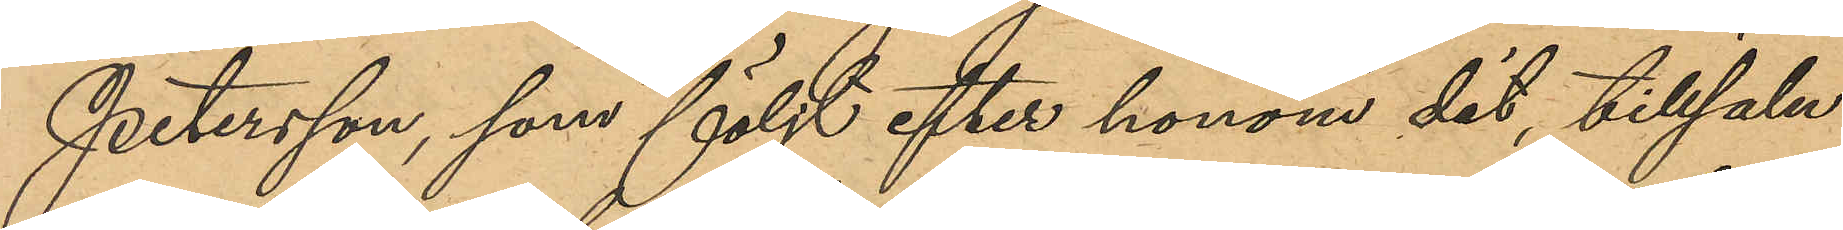Petersson, som följt efter honom dit, tillsalu
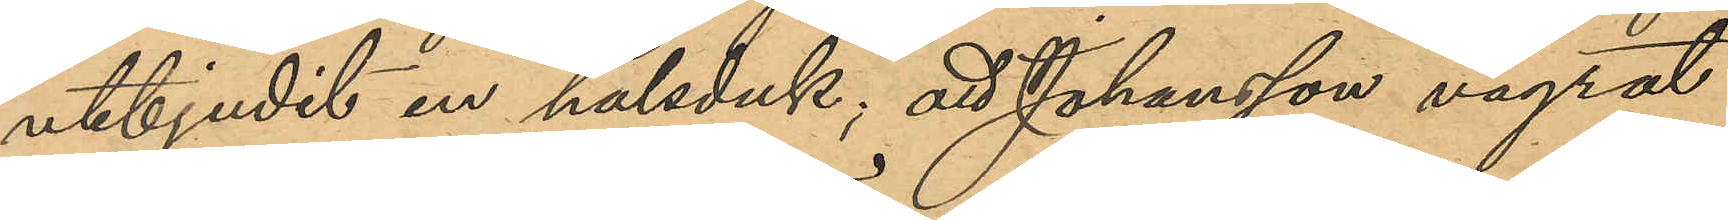utbjudit en halsduk; att Johansson vägrat
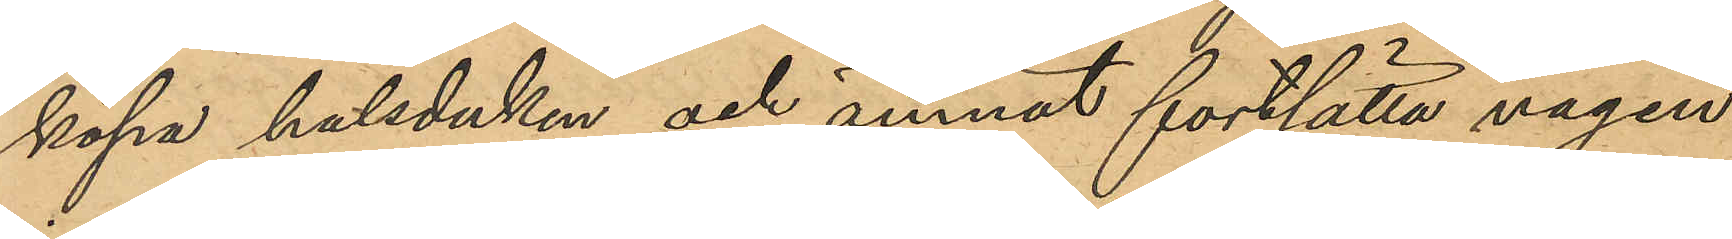köpa halsduken och ämnat fortsätta vägen
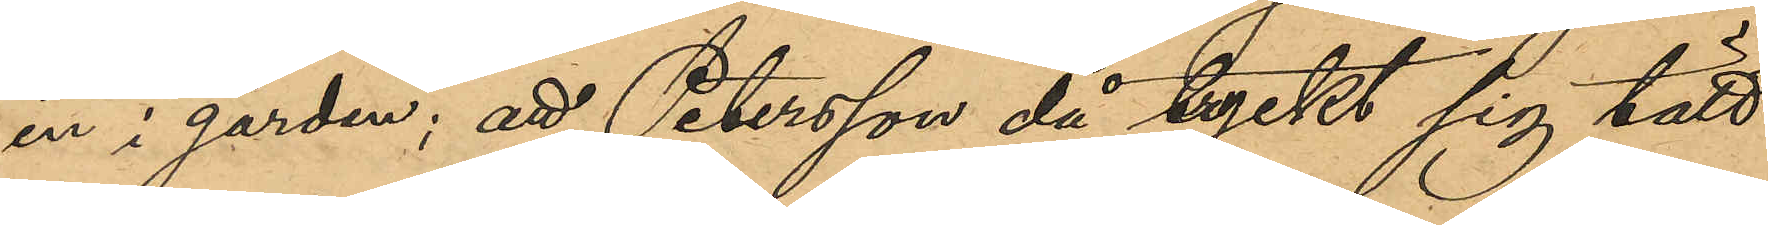in i gården; att Petersson då tryckt sig tätt
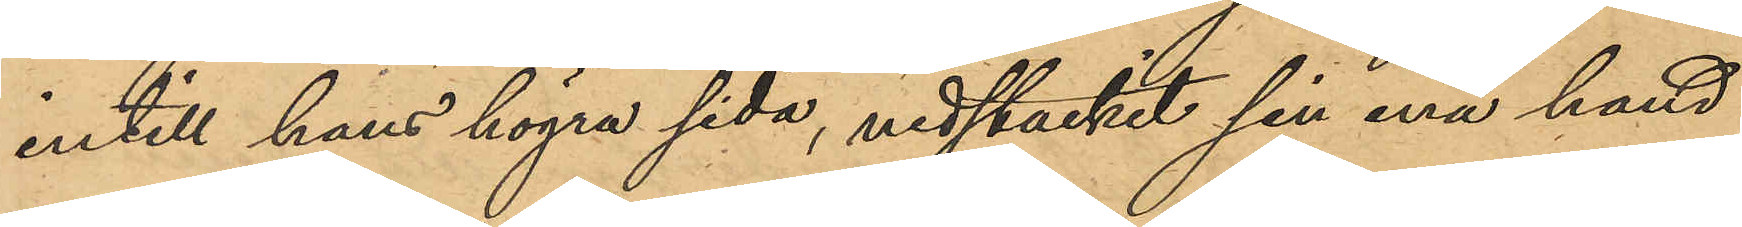intill hans högra sida, nedstuckit sin ena hand
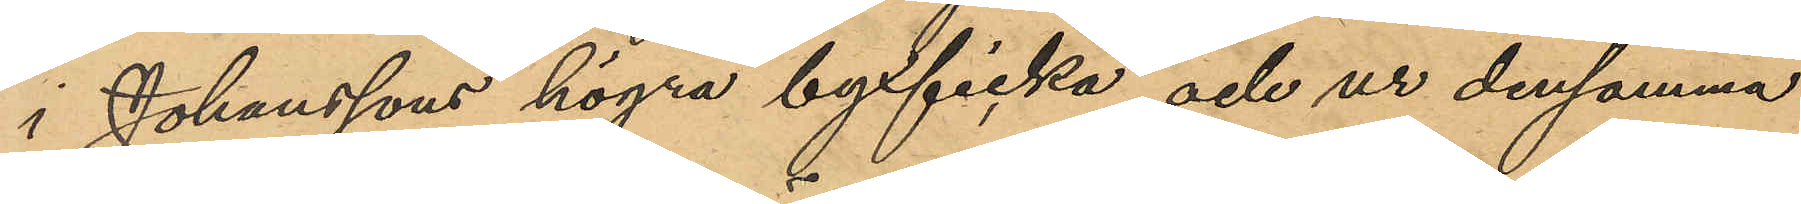i Johansson högra bakficka och ur densamma
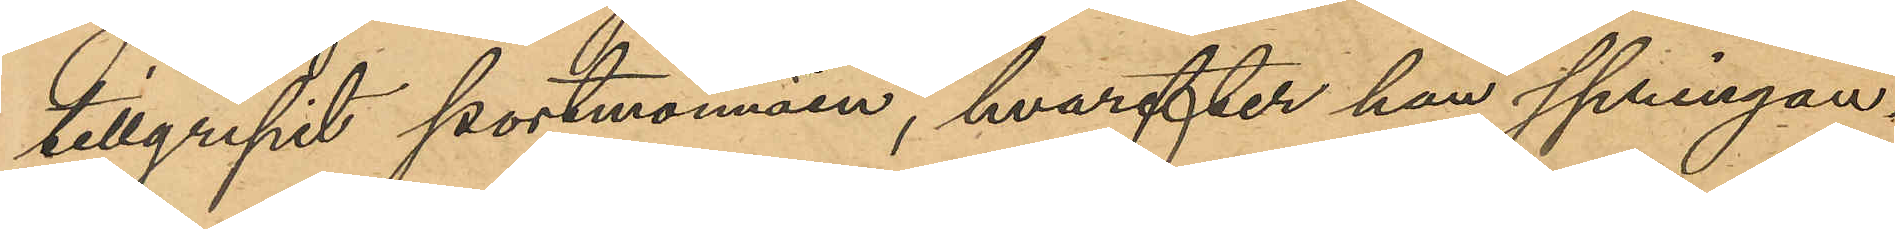tillgripit portmonnäen, hvarefter han springan¬
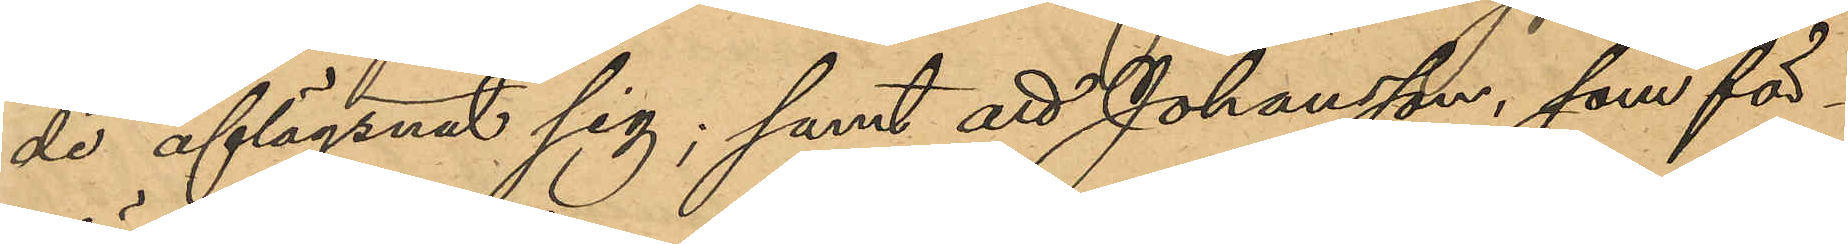de aflägsnat sig; samt att Johansson som för¬
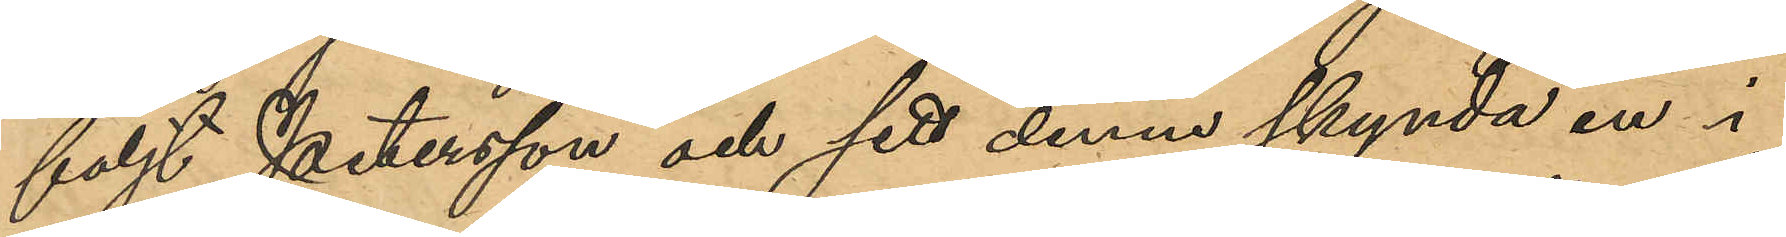följt Petersson och sett denne skynda in i
